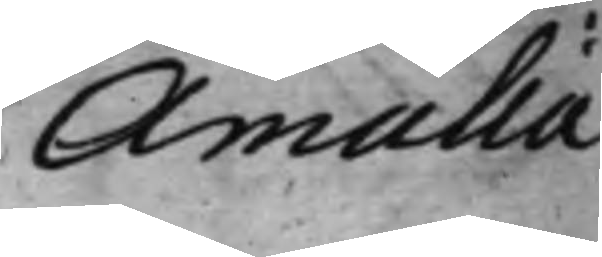Amalia
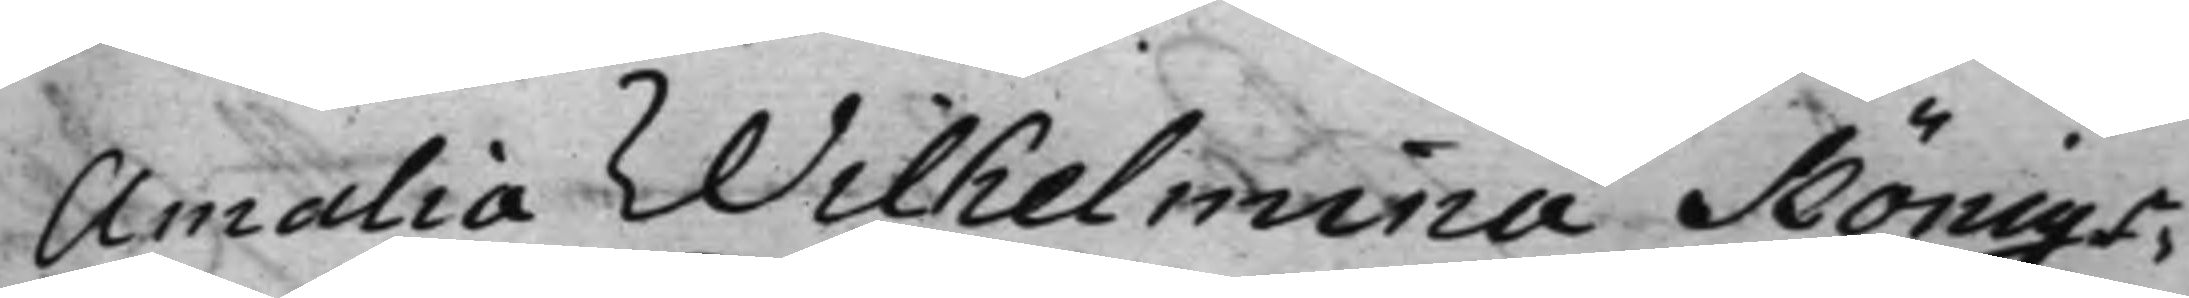Amalia Wilhelmina Königs¬
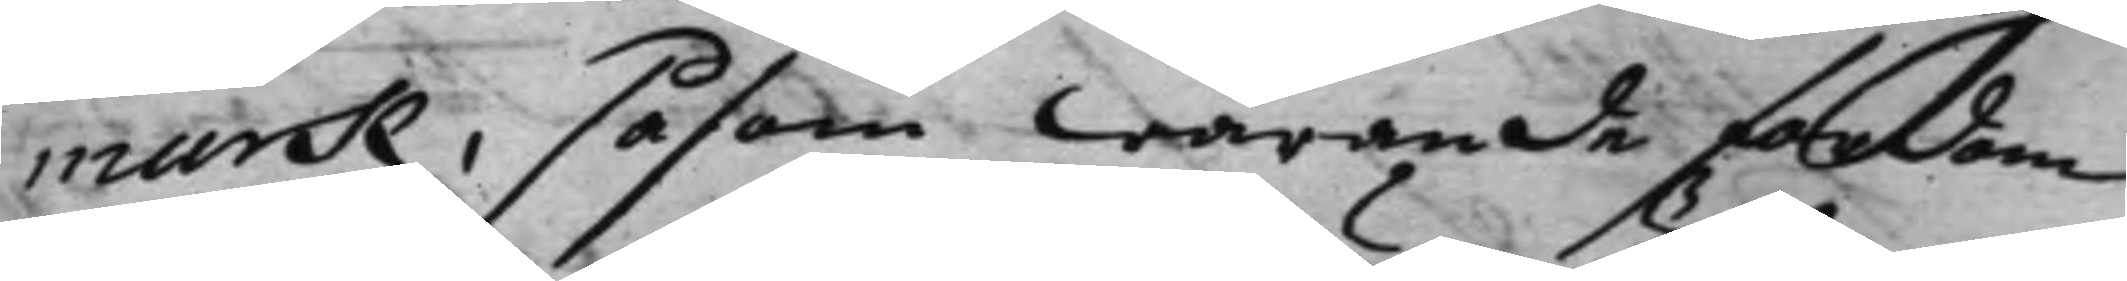mark, såsom warande fordom
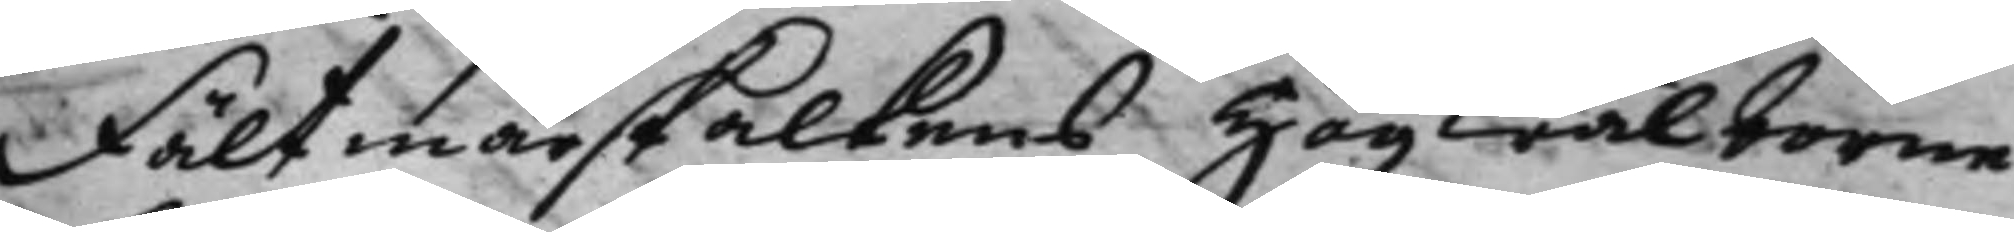Fältmarskalkens Högwälborne
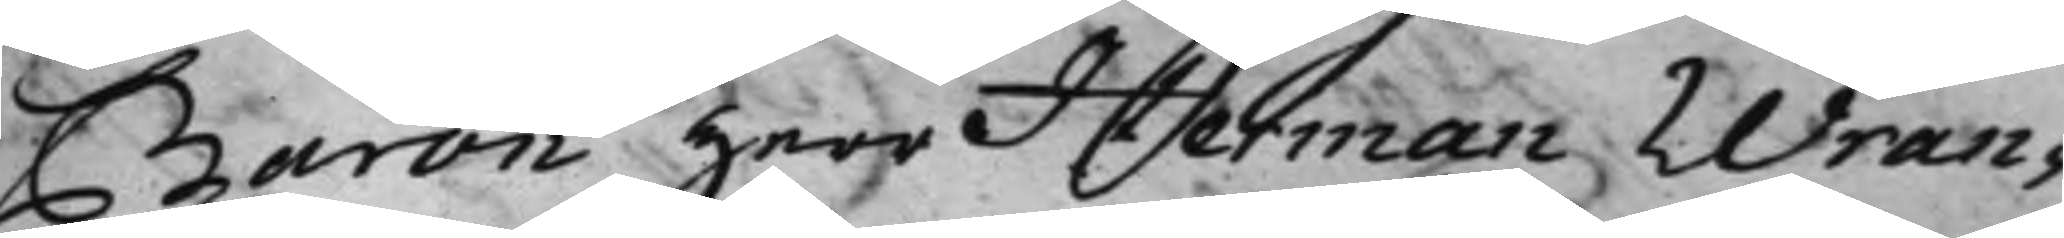Baron Herr Herman Wran¬
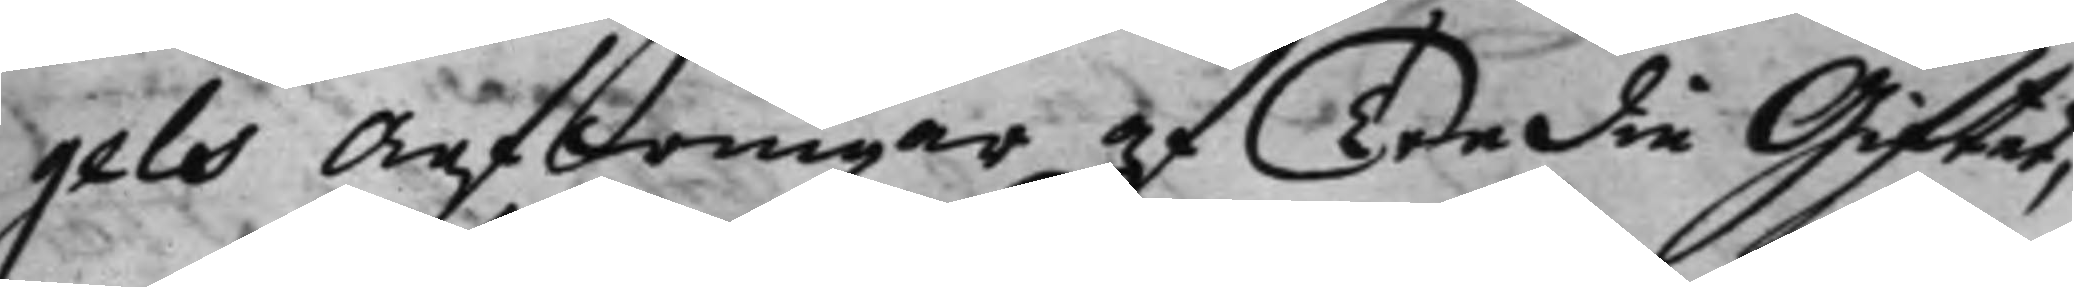gels Arfwingar af Tredie Giftet,
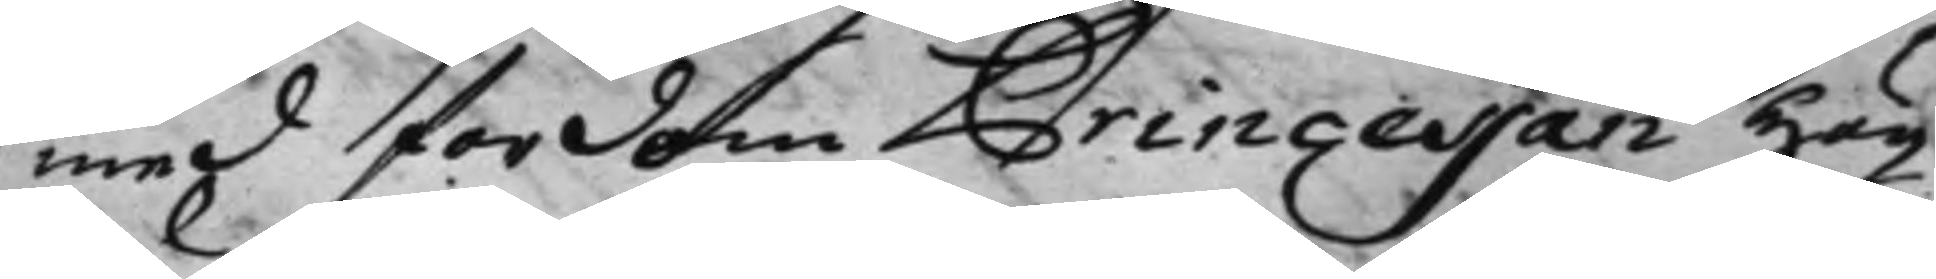med fordom Princessan Hög¬
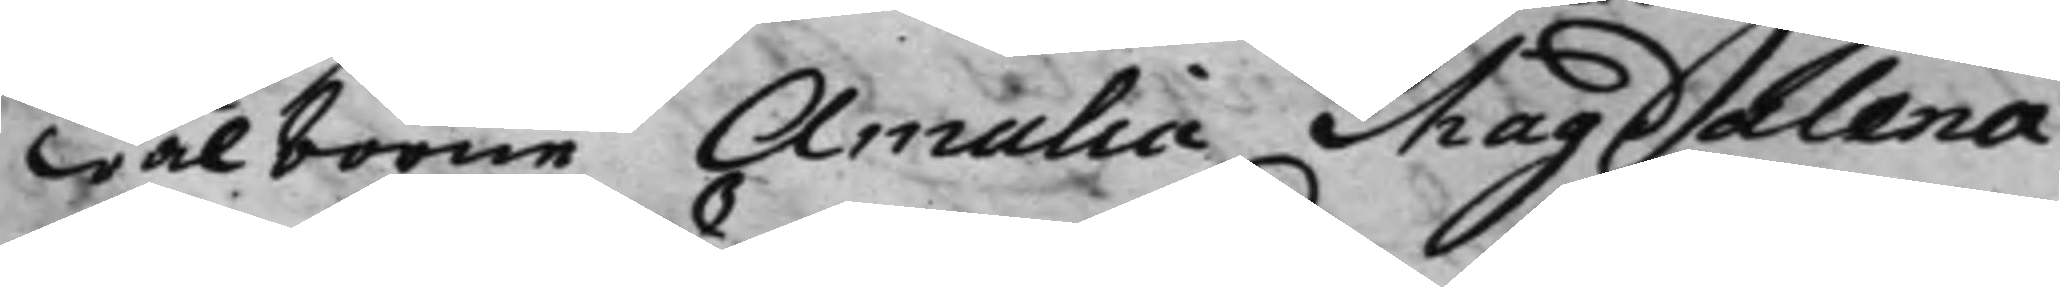wälborne Amalia Magdalena
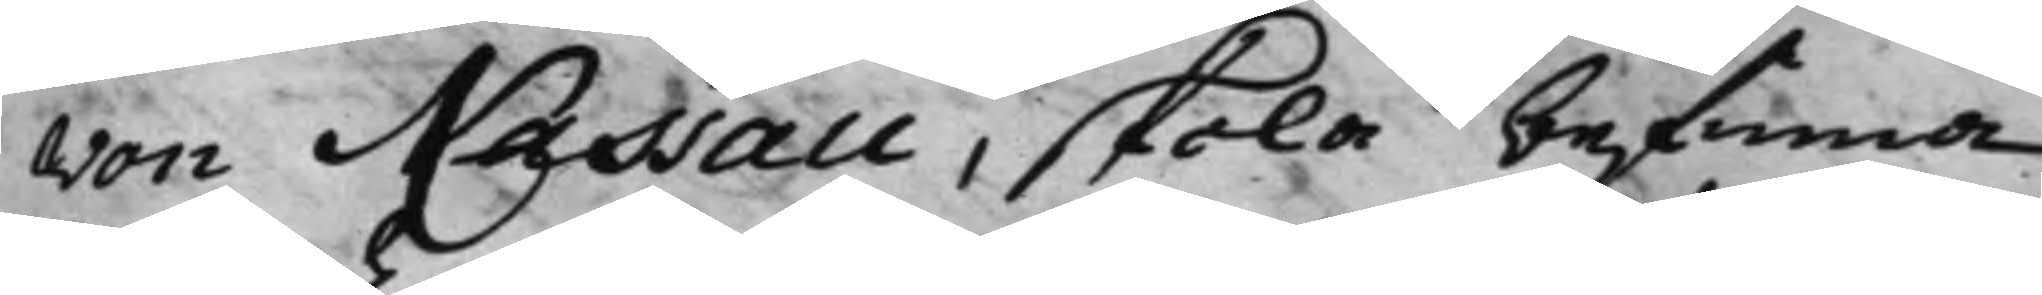von Nassau, skola befinna
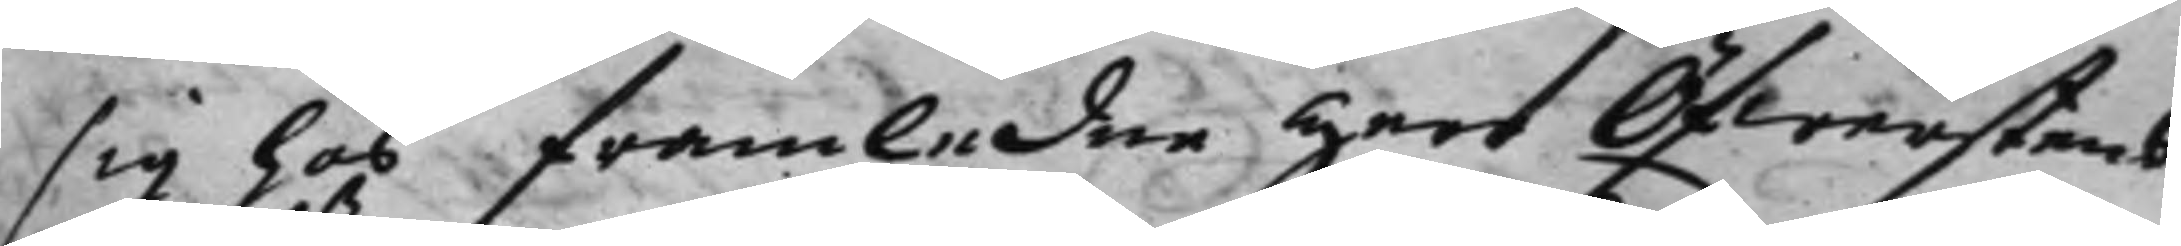sig hos framledne Herr Öfwerstens
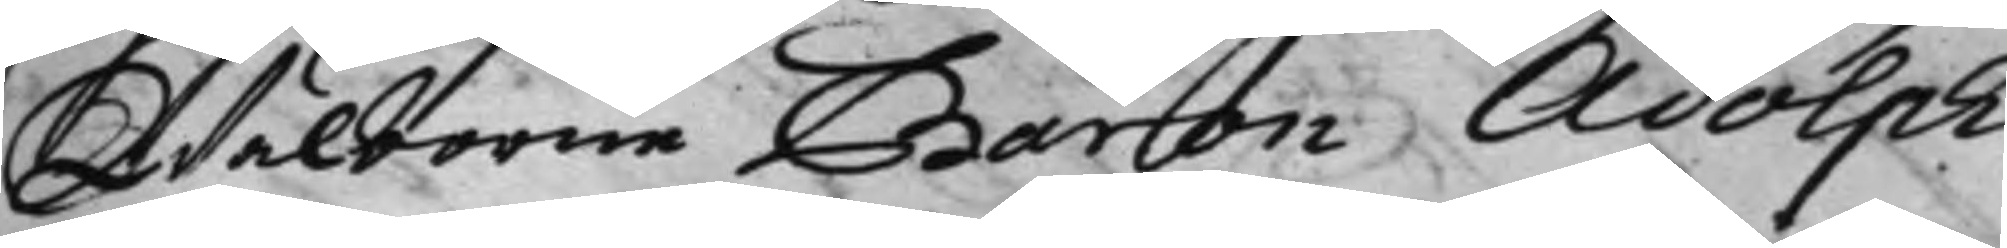Wälborne Baron Adolph
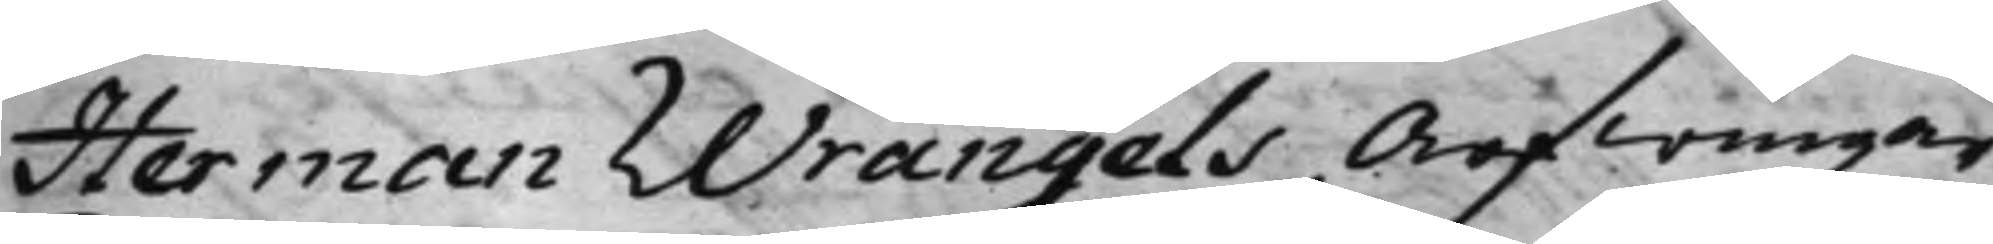Herman Wrangels Arfwingar,
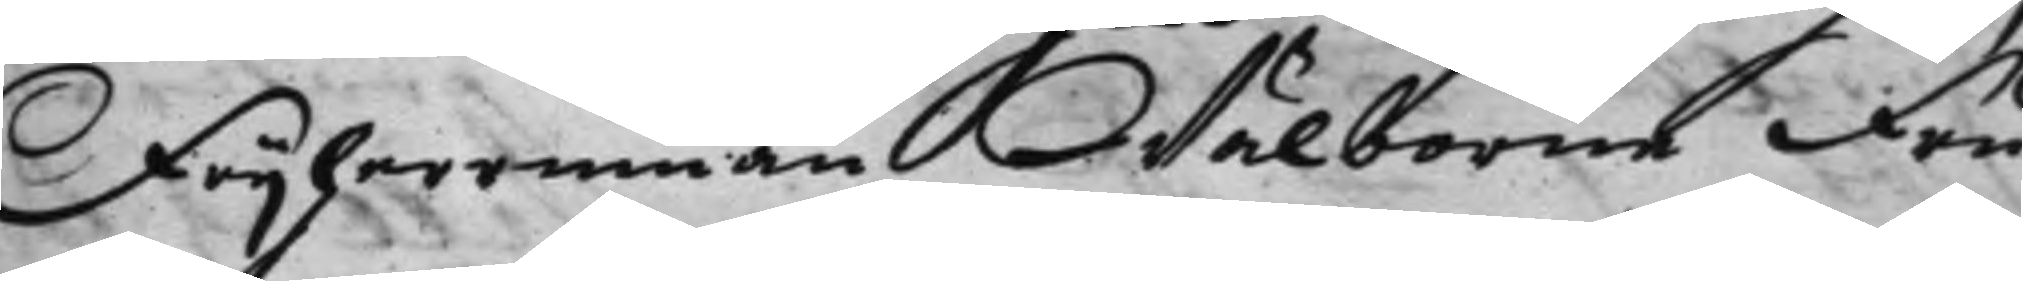Frijherrinnan Wälborne Fru
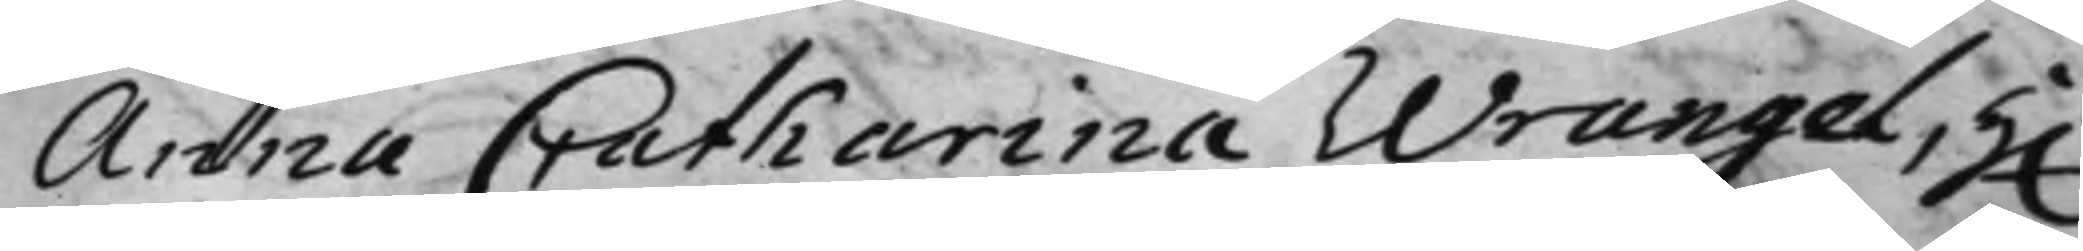Anna Catharina Wrangel, H.r
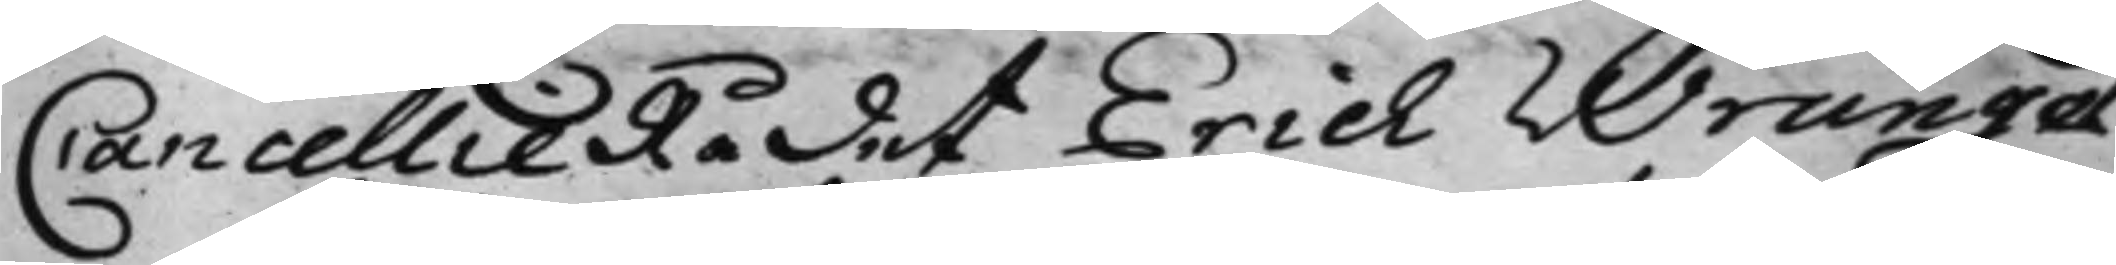CancellieRådet Erich Wrangel
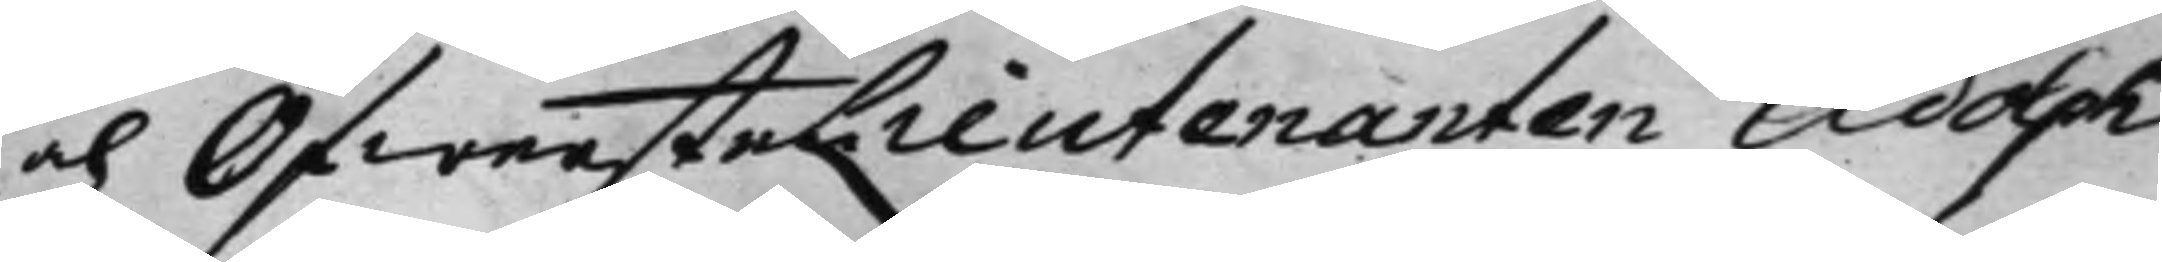och Öfwerstelieutenanten Adolph
